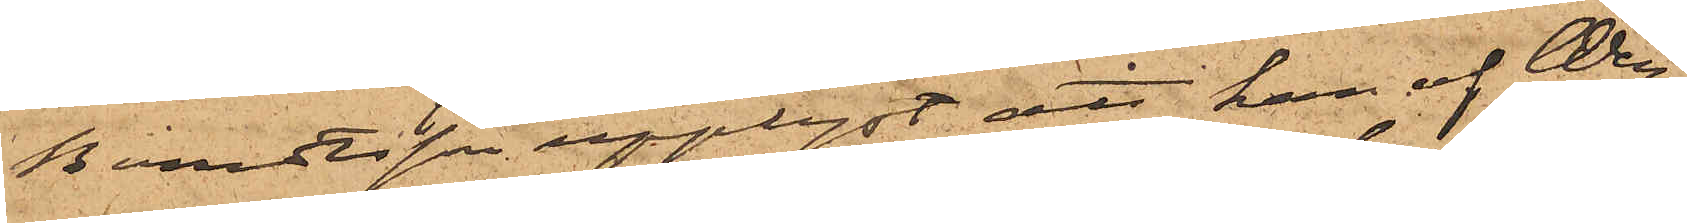Berndtsson upplyst, att han af Wen¬
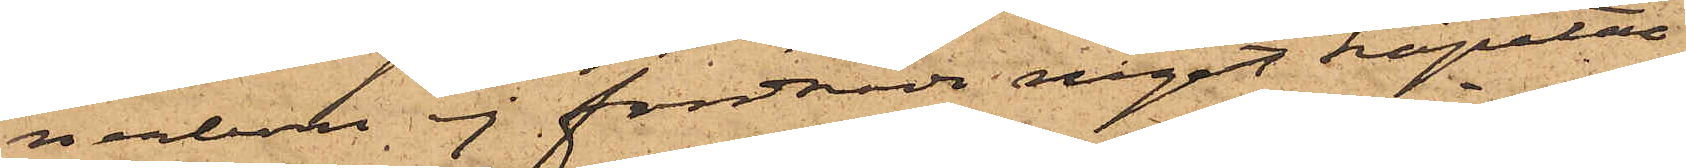nerbom ej fordrade något kapital
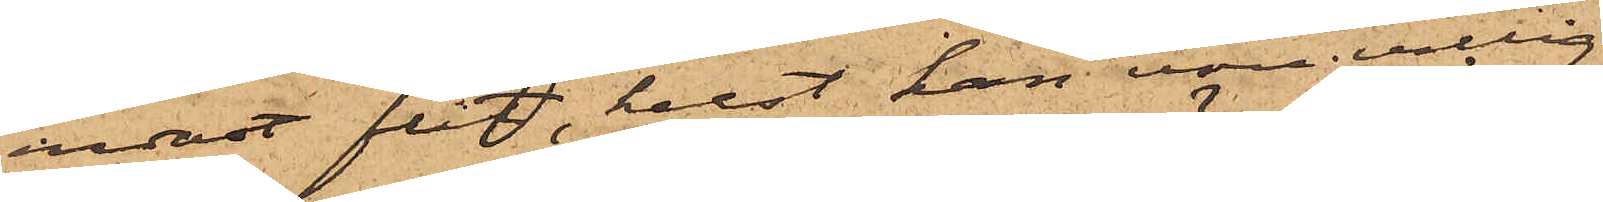endast flit, helst han vore villig
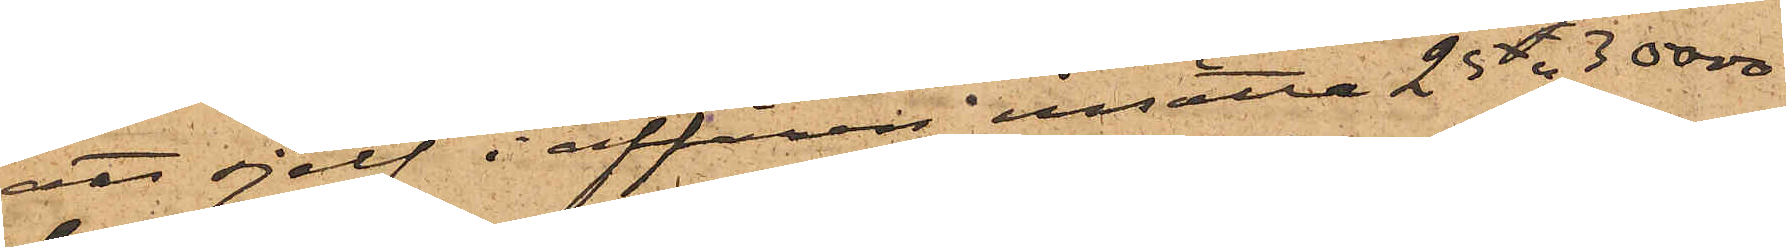att sjelf i affären insätta 25 à 30 000
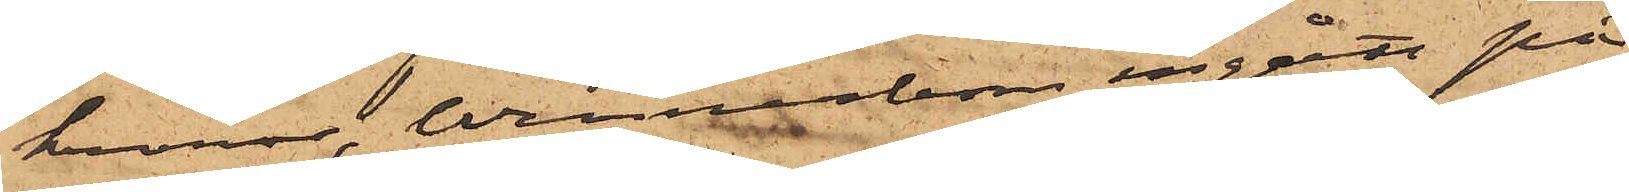kronor, Wennerbom ingått på
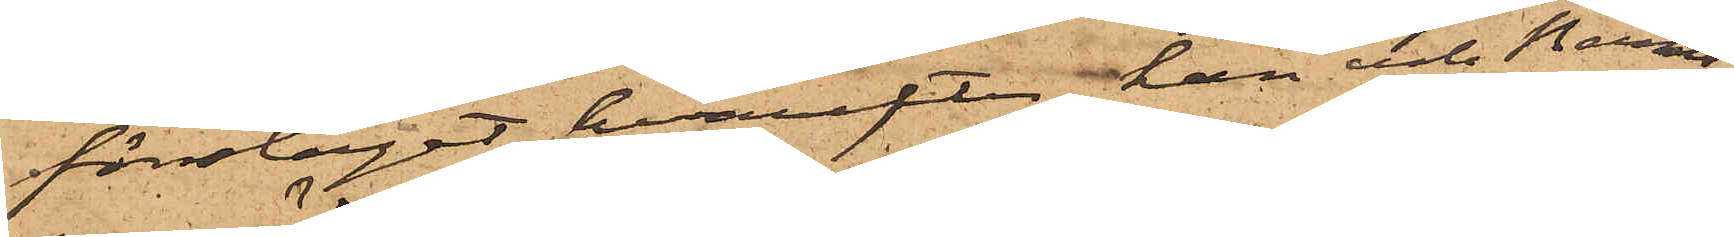förslaget, hvarefter han och Bernts¬
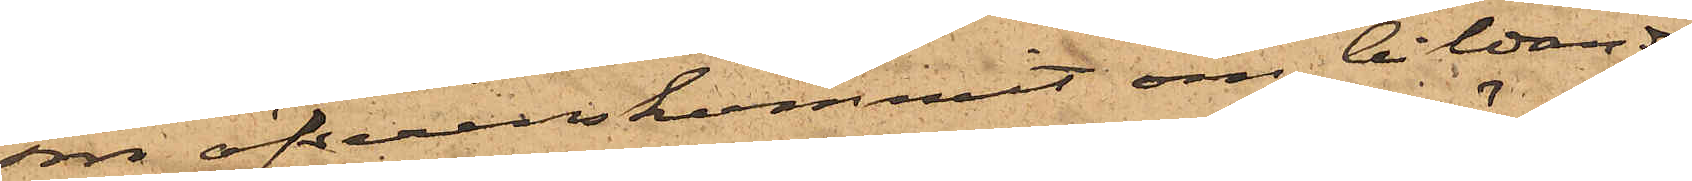son öfverenskommit om bildande
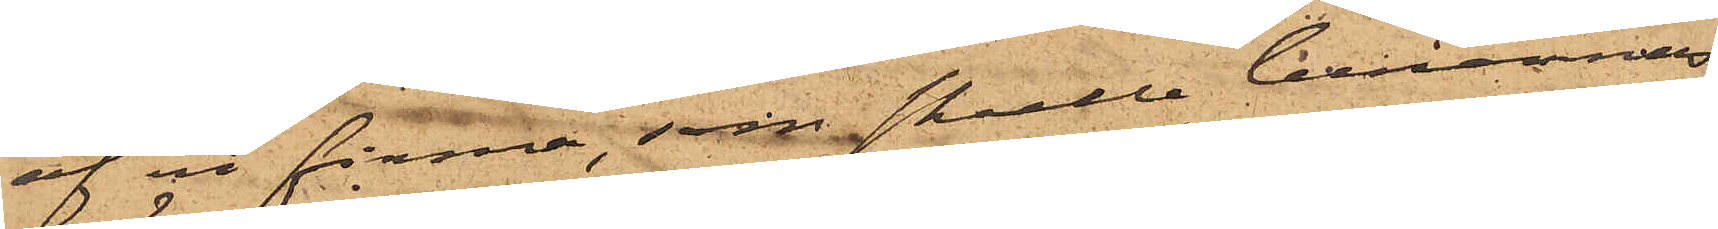af en firma, som skulle benämnas
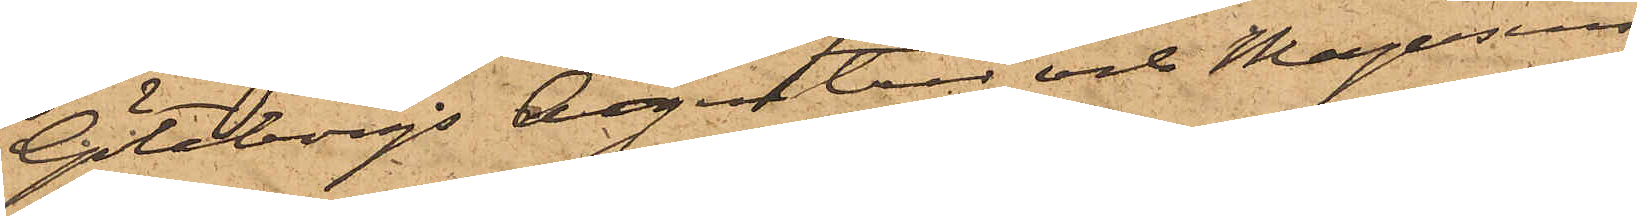Göteborgs Agentur och Magasins
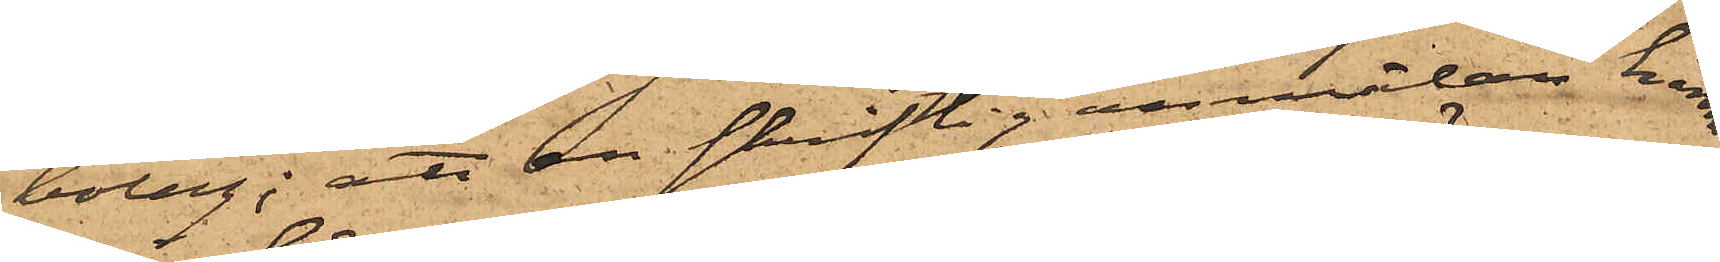bolag; att en skriftig anmälan härom
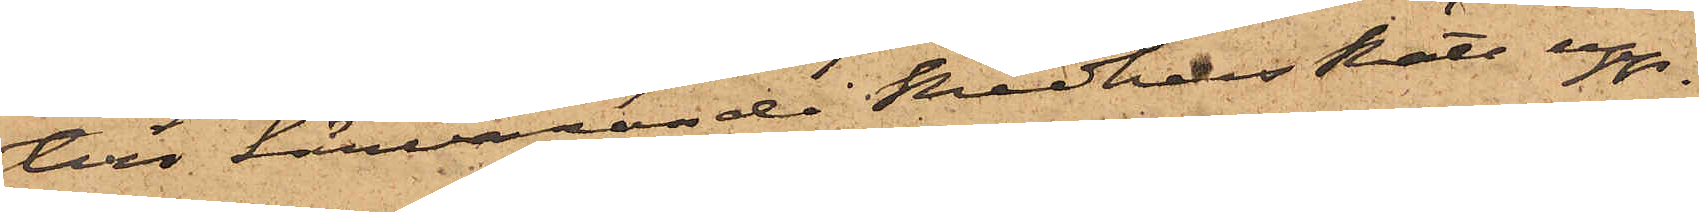till härvarande RådhusRätt upp¬
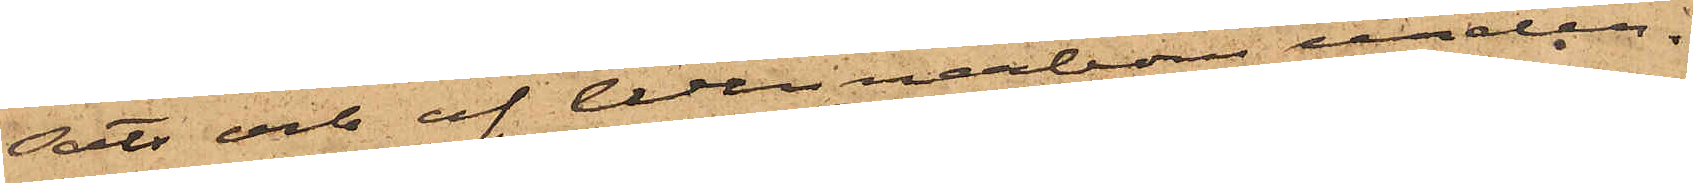sats och af Wennerbom under¬
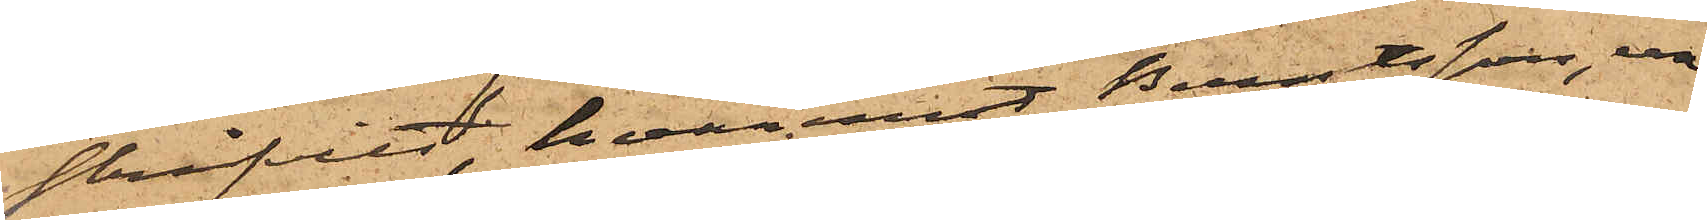skrifvits, hvaremot Berntsson, un¬
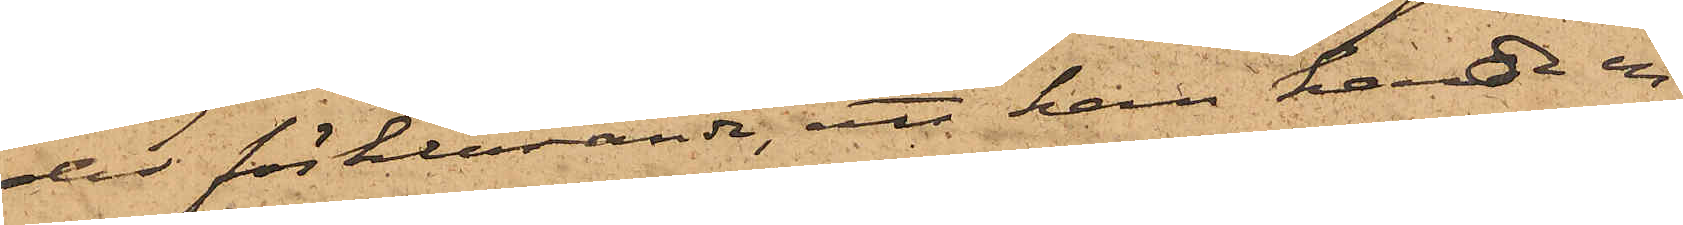der förklarande, att han hade en
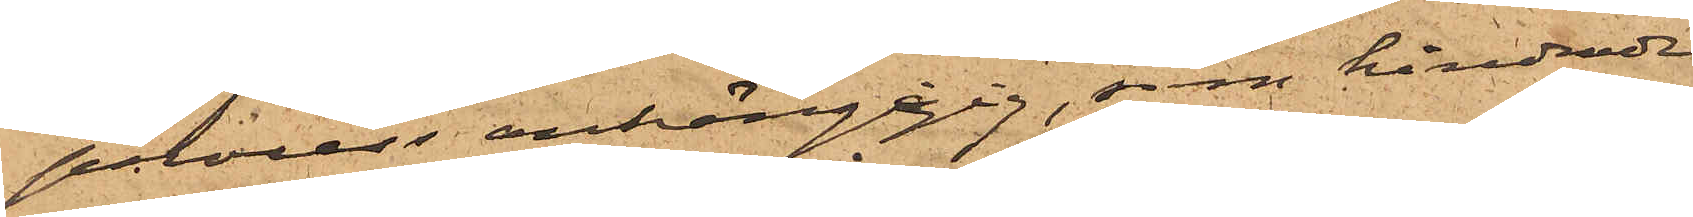process anhängigig, som hindrade
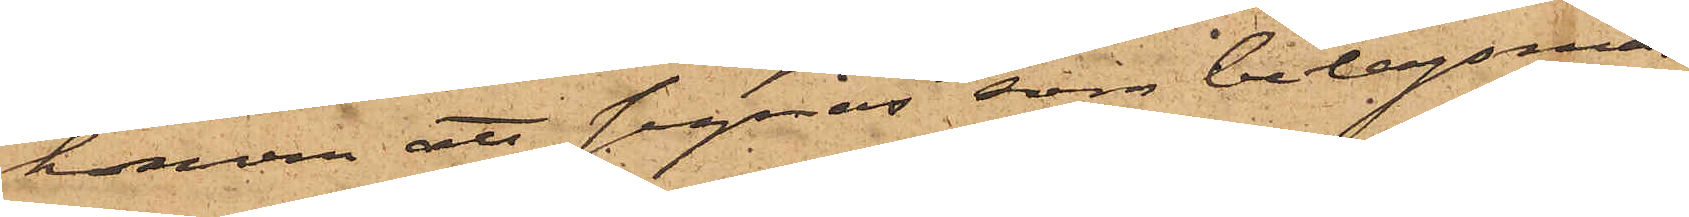honom att signas som bolagsman
